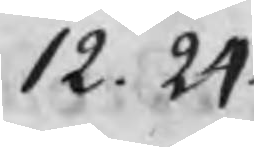12. 24.
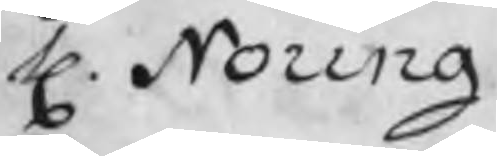H. Noring
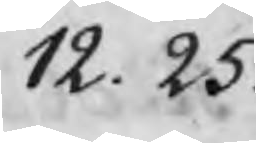12. 25.
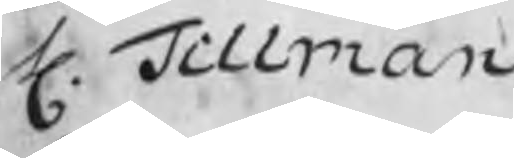H. Tillman
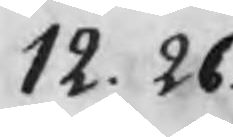12. 26
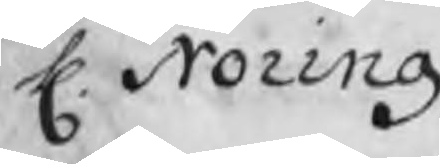H. Noring
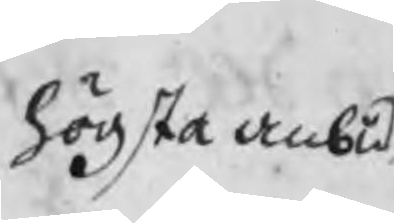högsta anbud
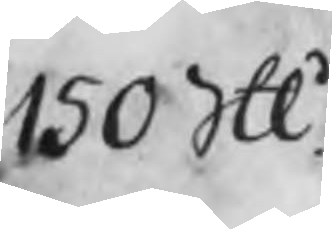150 Skl
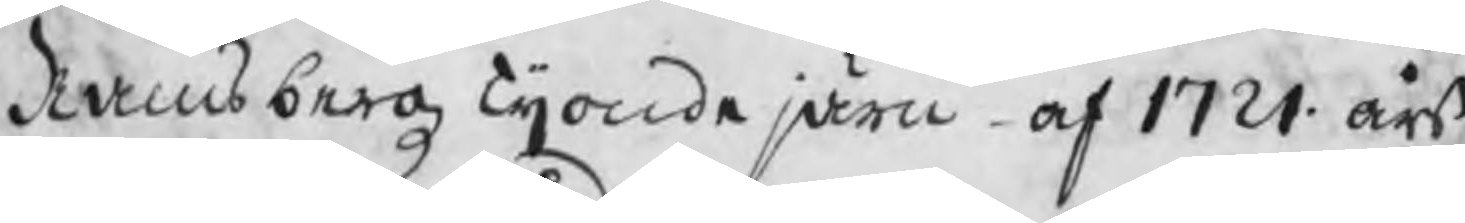Rambergz Tijonde järn af 1721 års
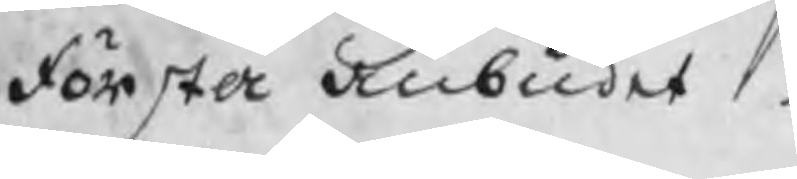första anbudet
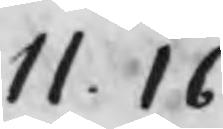11. 16
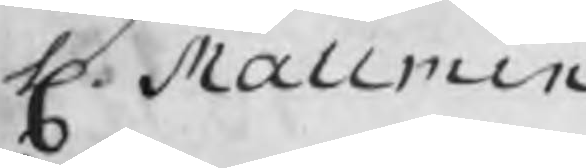H. Mallmin
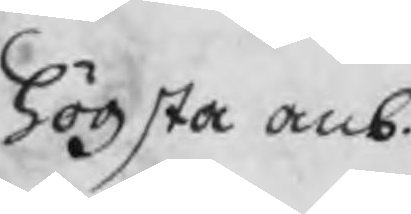högsta anb.
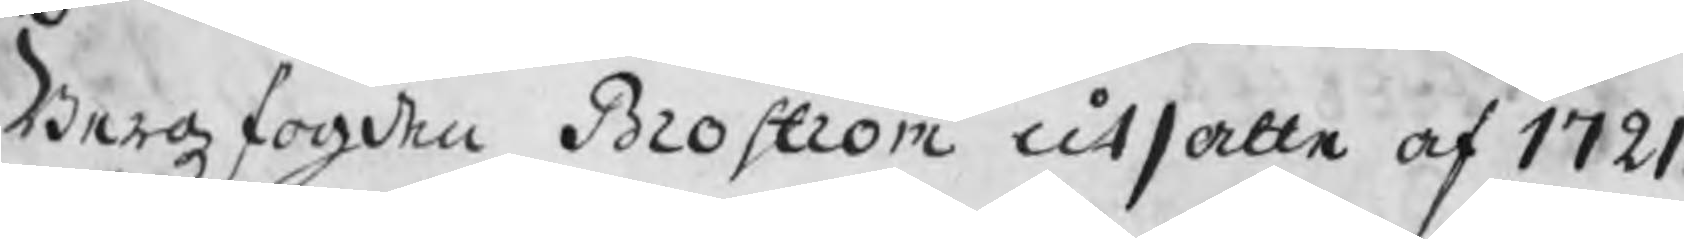Bergzfogden Broström utsatte af 1721
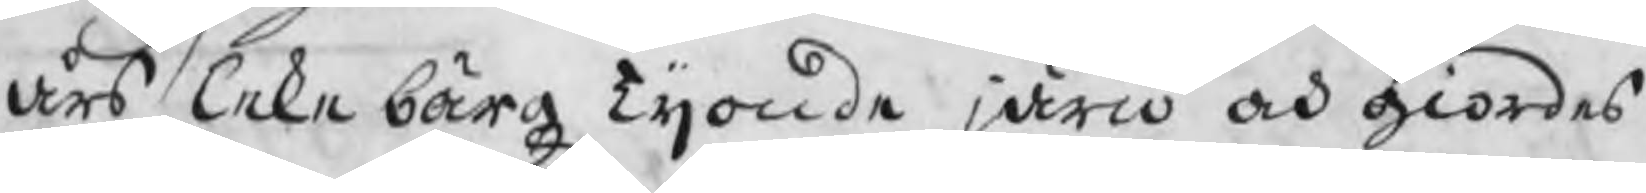års Lekebärgz Tijonde järn och giordes
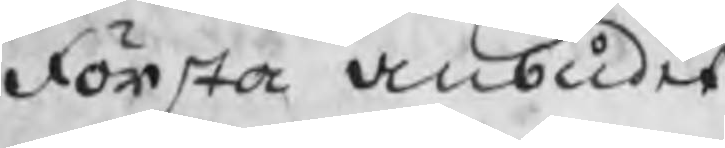första anbudet
